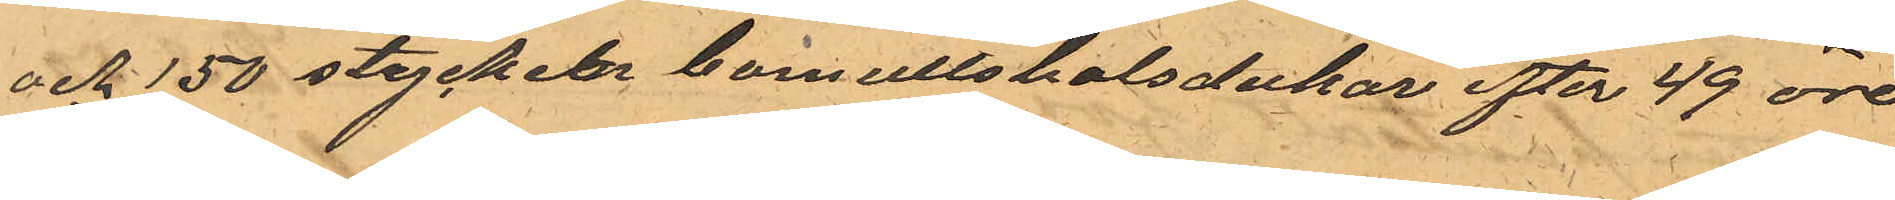och 150 stycken bomullshalsdukar efter 49 öre
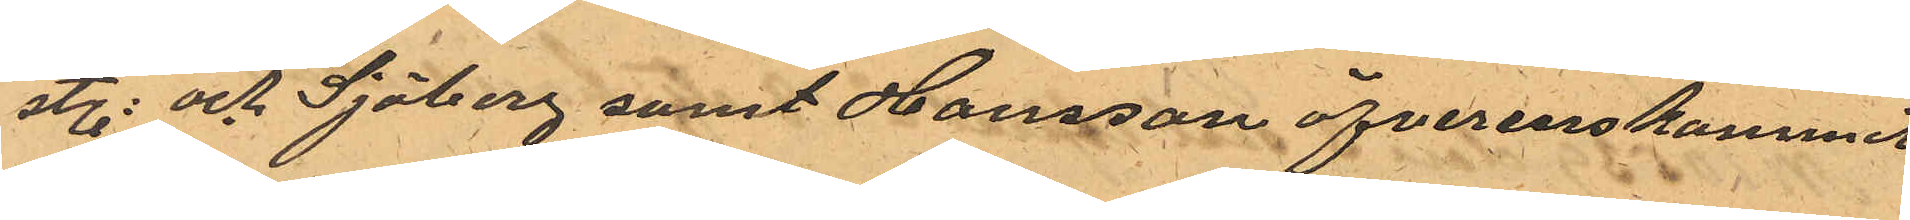st.: och Sjöberg samt Hansson öfverenskommit
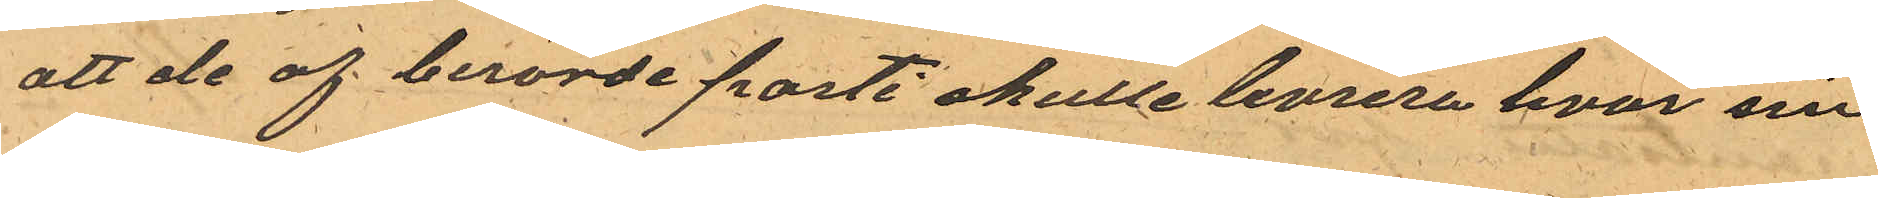att de af berörde parti skulle levrera hvar sin
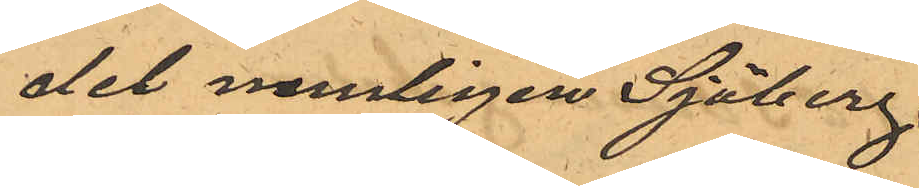del nemligen Sjöberg.
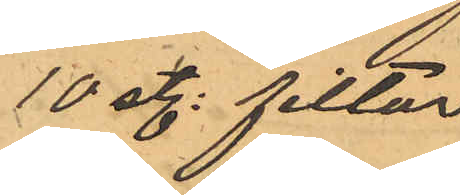10 st. filtar
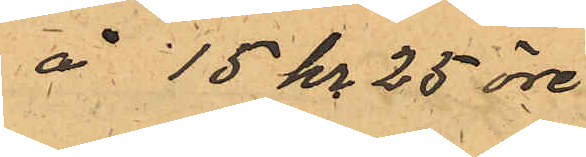å 15 kr 25 öre.
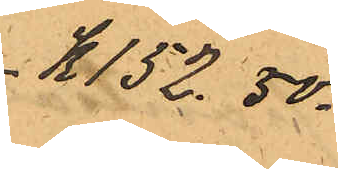K 152.50.
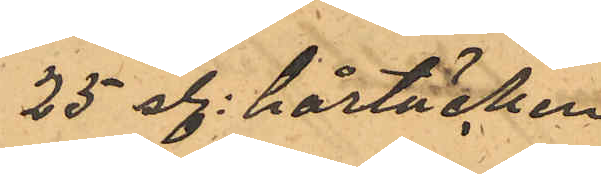25 st. hårtäcken
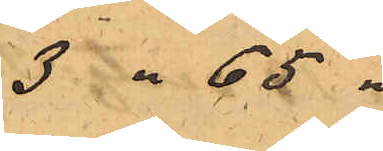3 " 65 "
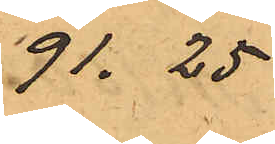91.25
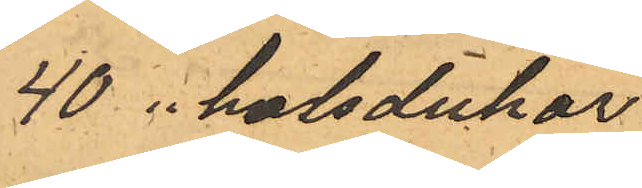40 " halsdukar.
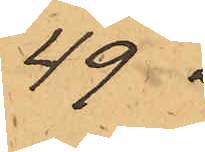49 "
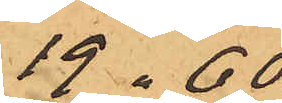19.60.
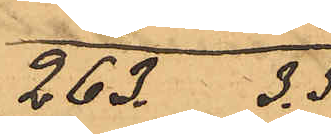263. 3.5
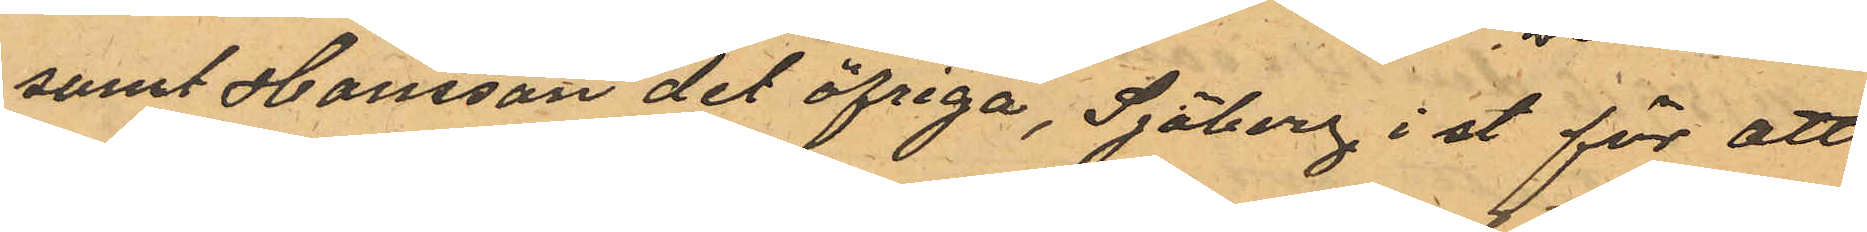samt Hansson det öfriga, Sjöberg i st för att
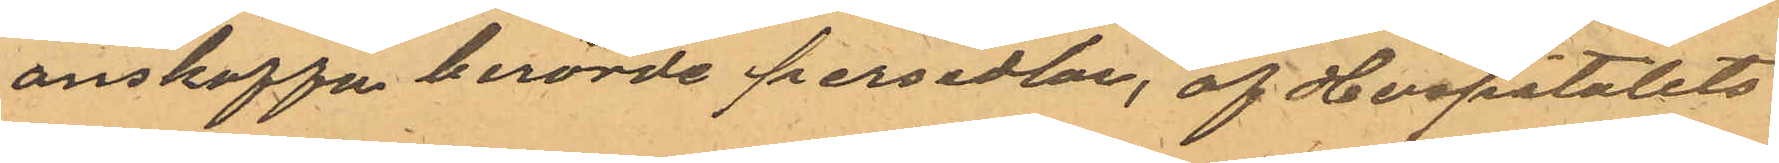anskaffa berörde persedlar, af Hospitalets
